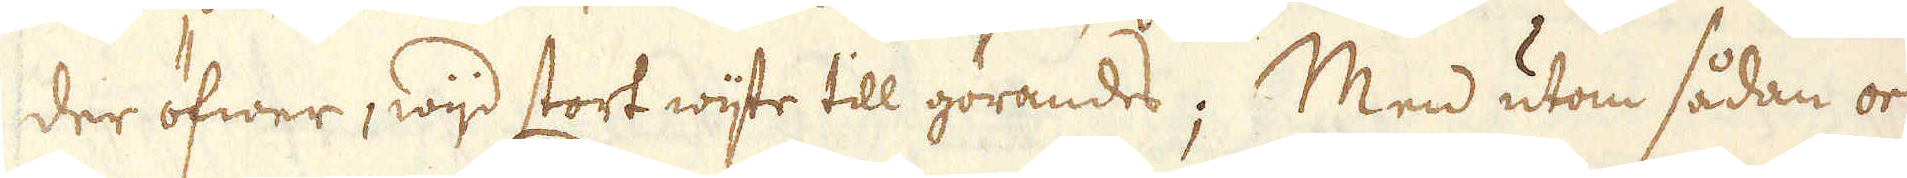der öfwer, wijd stort wijte till görandes; Men utom sådan or-
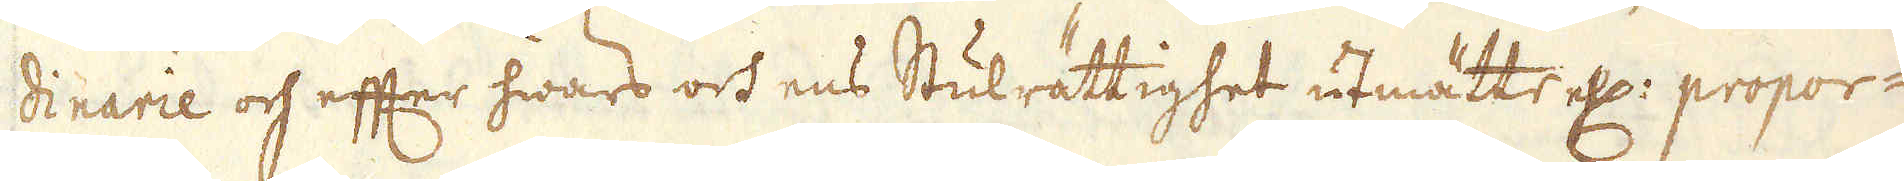dinarie och effter hwars och ens Stulrättighet utmätte ell: propor-
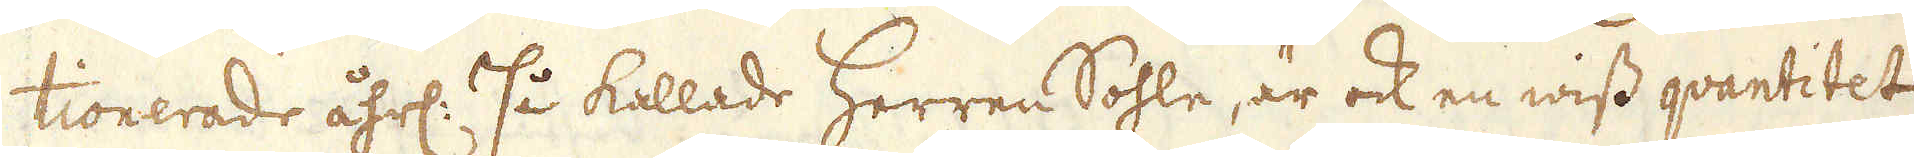tionerade åhrl: så kallade Herren Sohle, är ock en wiss qvantitet
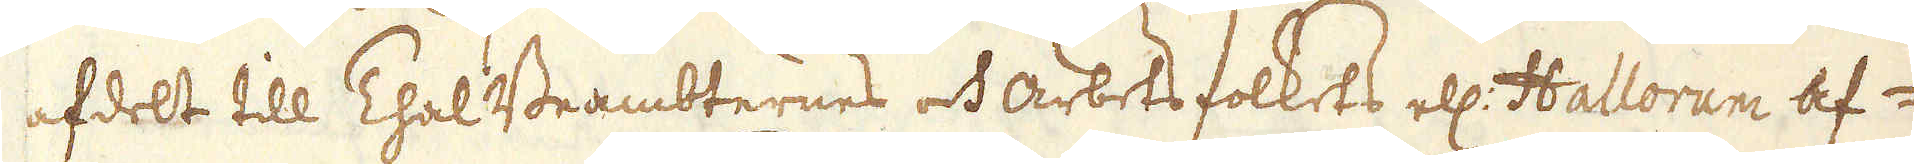afdelt till Thal Beambternes och arbets folkets ell: Hallorum af-
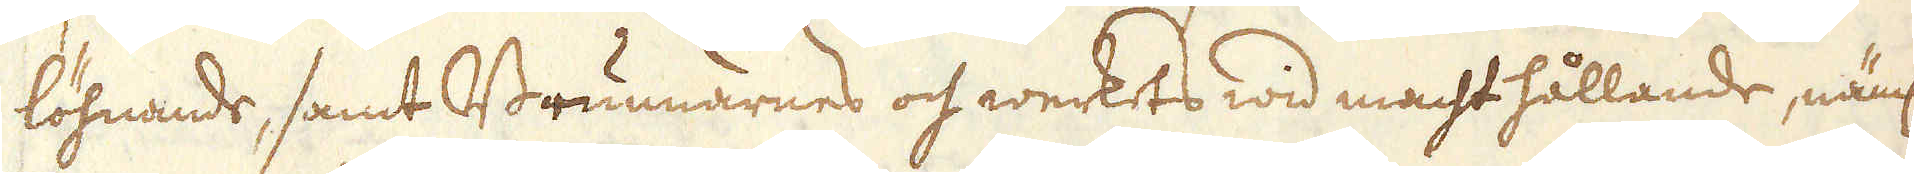löhnande, samt Brunnarnes och werkets wid macht hållande, näml:
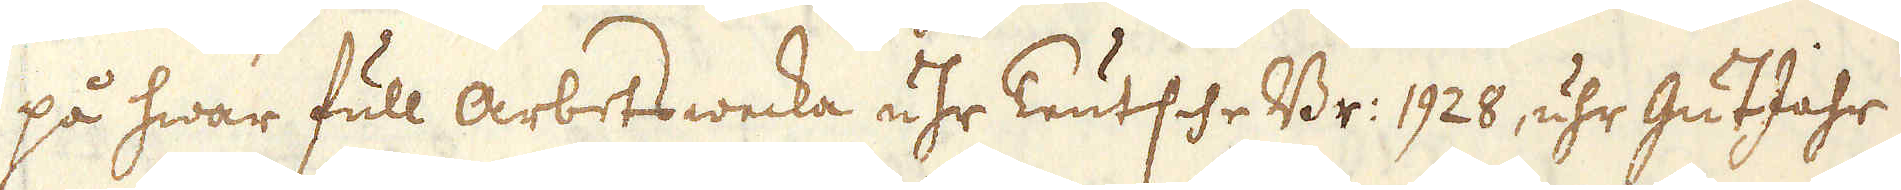på hwar full arbetswecka uhr Teutsche Br: 1928, uhr GutJahr
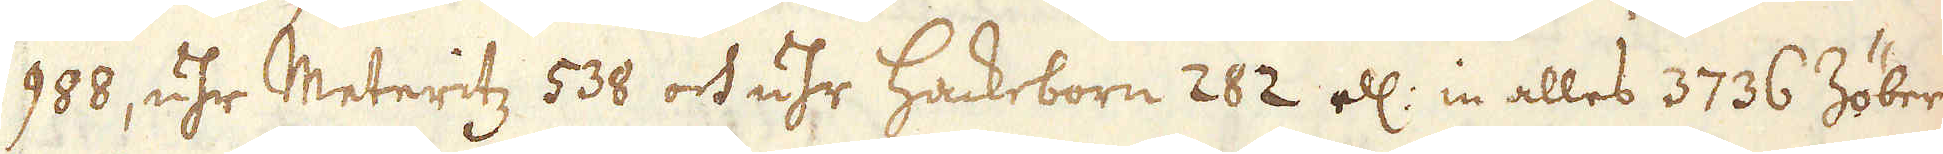988, uhr Meteritz 538 och uhr Hackeborn 282 ell: in alles 3736 Zöber.
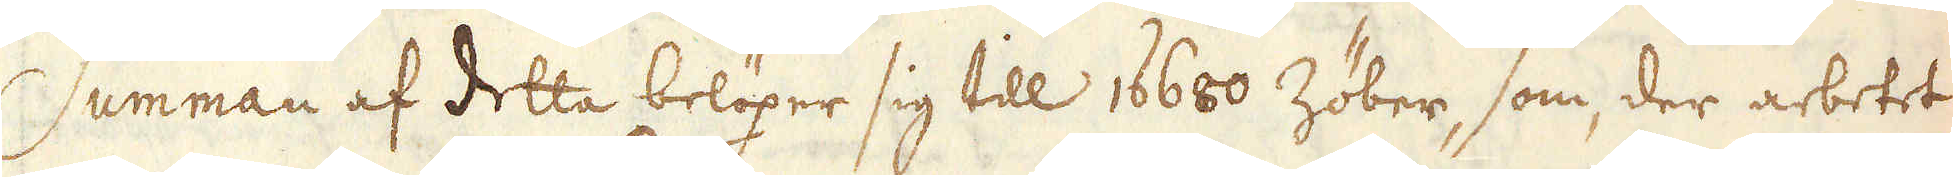Summan af detta belöper sig till 16680 Zöber, som, der arbetet
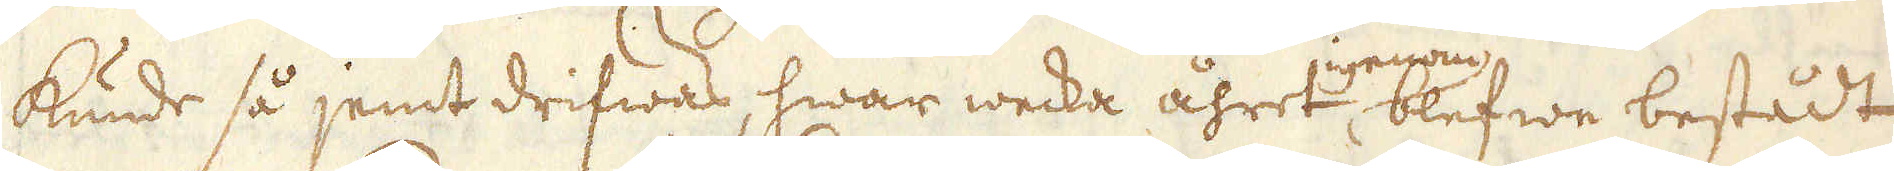kunde så jemt drifwas, hwar wecka åhret igenom blefwe bestådt
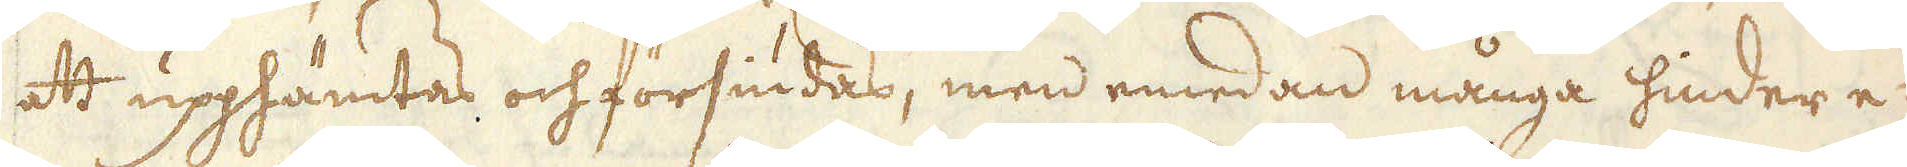at upphämtas och försiudas, men emedan många hinder e-
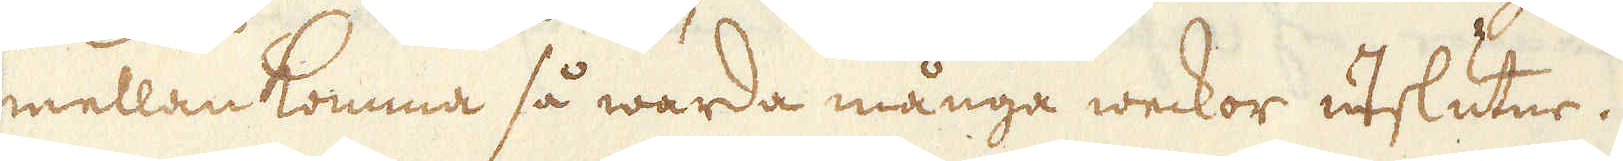mellan komma så warda många weckor utslutne.
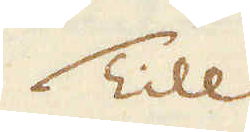Till
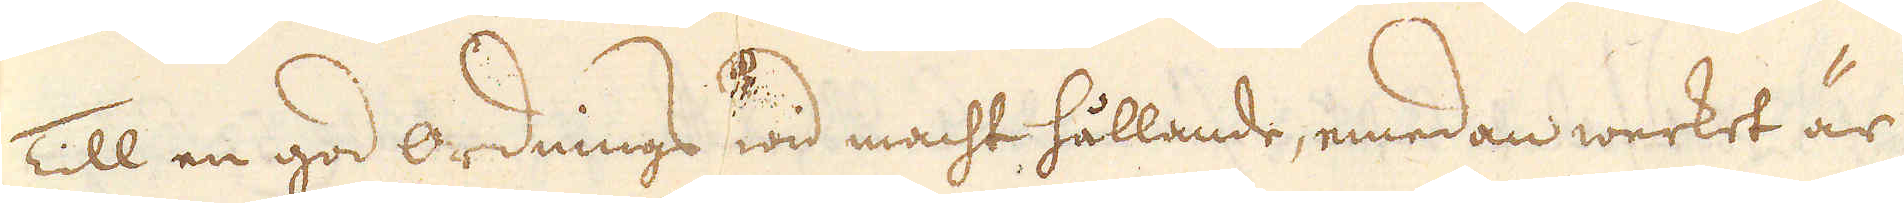Till en god ordnings wid macht hållande, emedan werket är
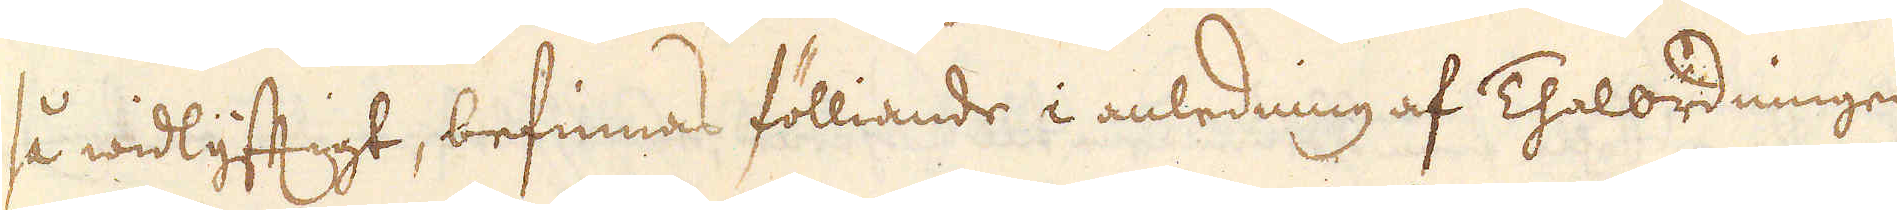så widlyftigt, befinnas fölliande i anledning af Thalordningen
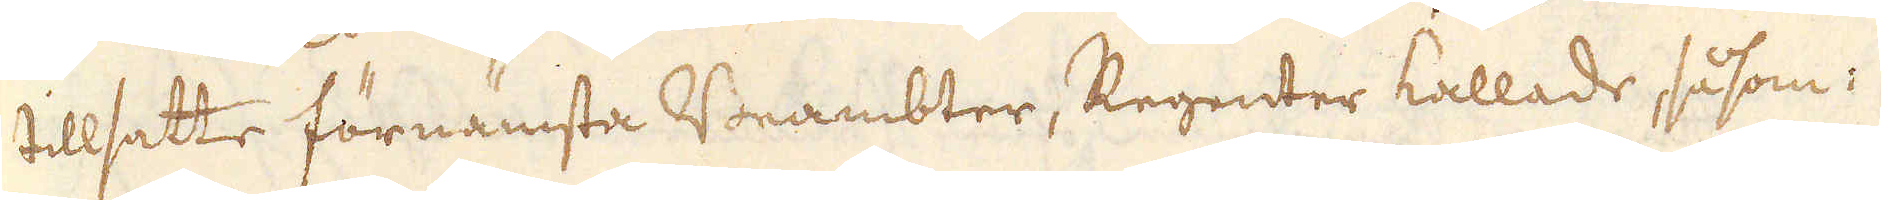tillsatte förnämsta Beambter, Regenter kallade, såsom:
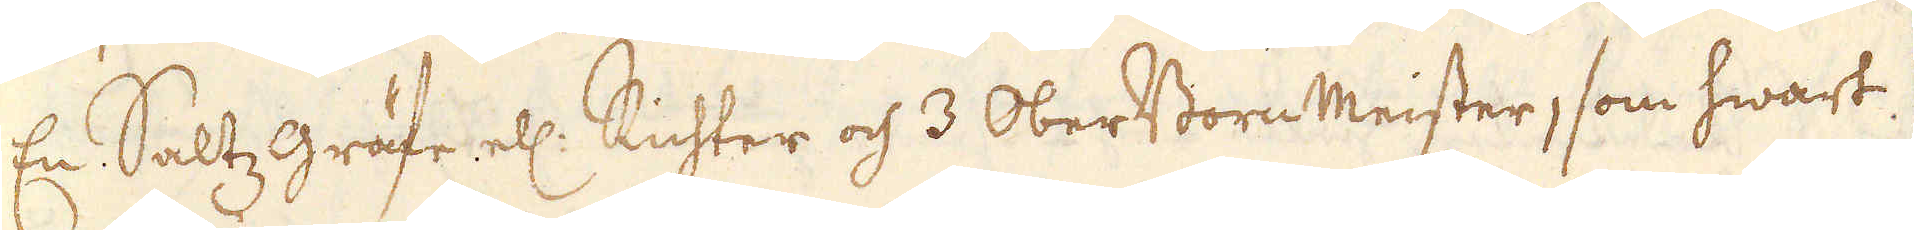En Saltz gräfe ell: Richter och 3 OberBorn Meister, som hwart
